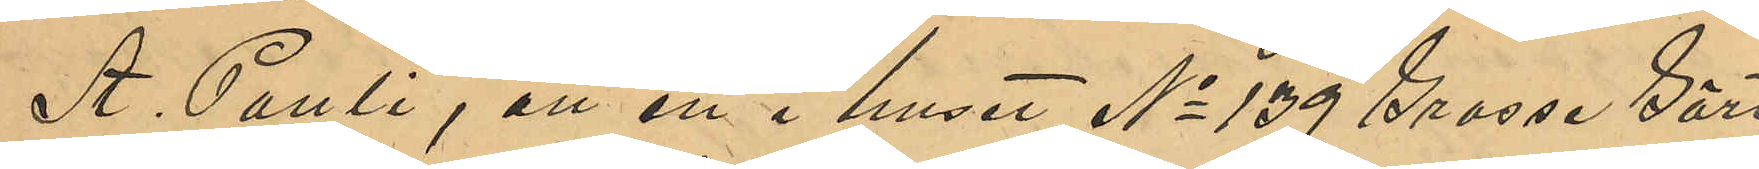A. Pauli, att en i huset No 139 Grosse Gärt¬
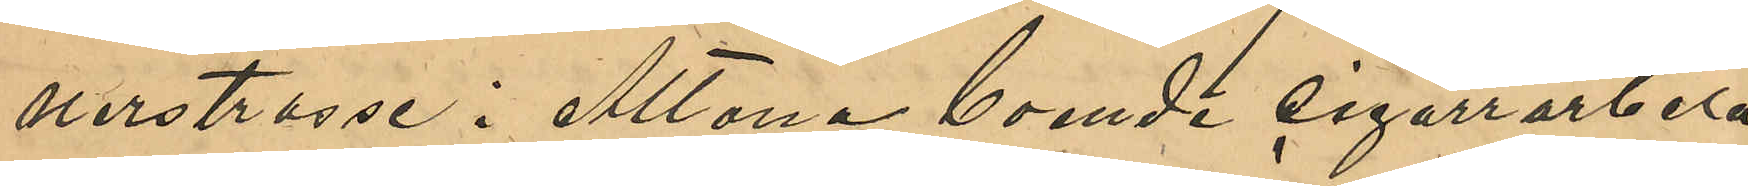nerstrasse i Altona boende cigarrarbeta¬
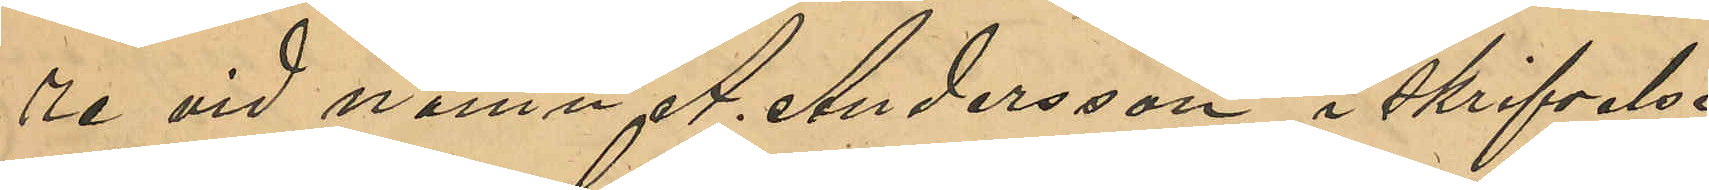re vid namn A. Andersson, i skrifvelse
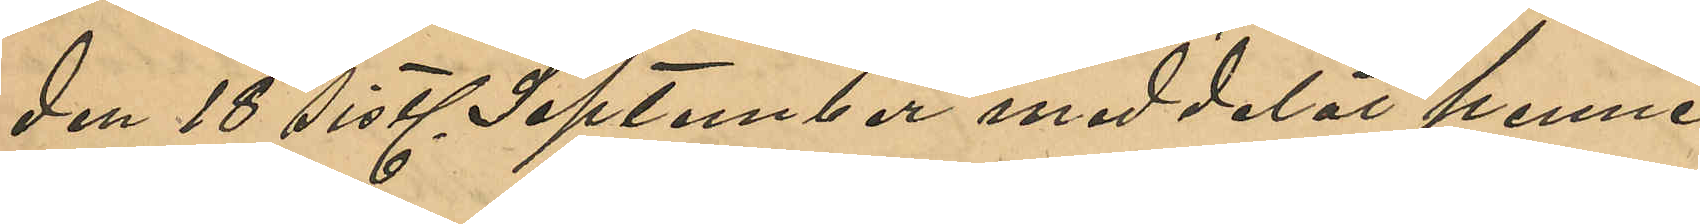den 18 sistl September meddelat henne
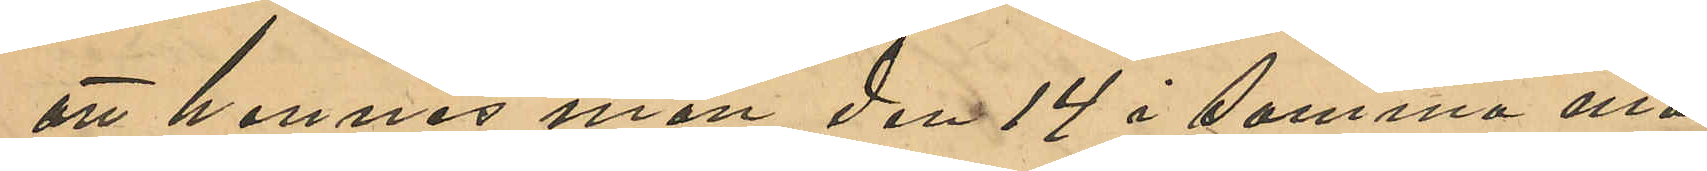att hennes man den 14 i samma må¬
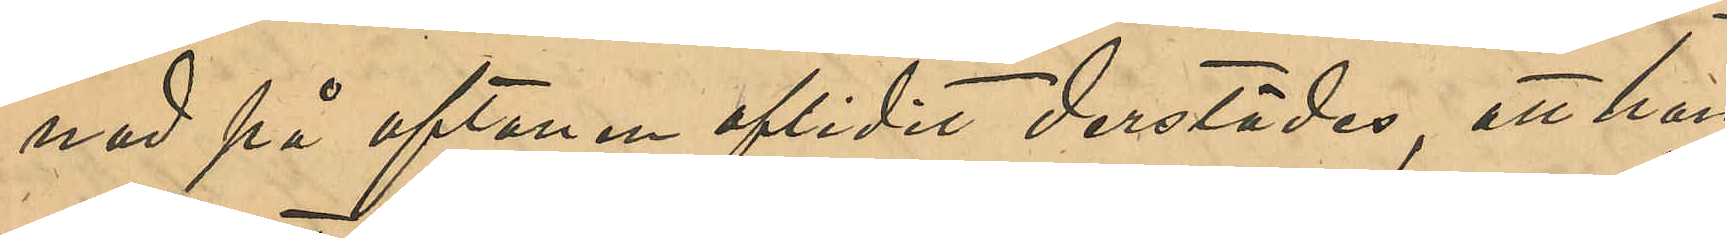nad på aftonen aflidit derstädes, att hon
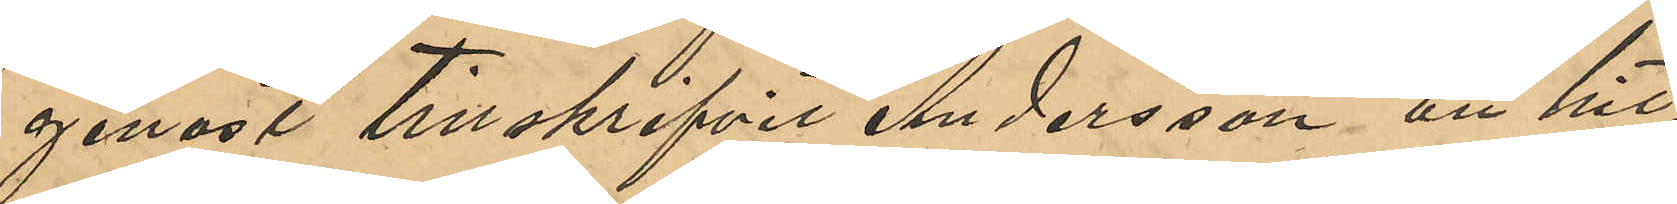genast tillskrifvit Andersson att hit¬
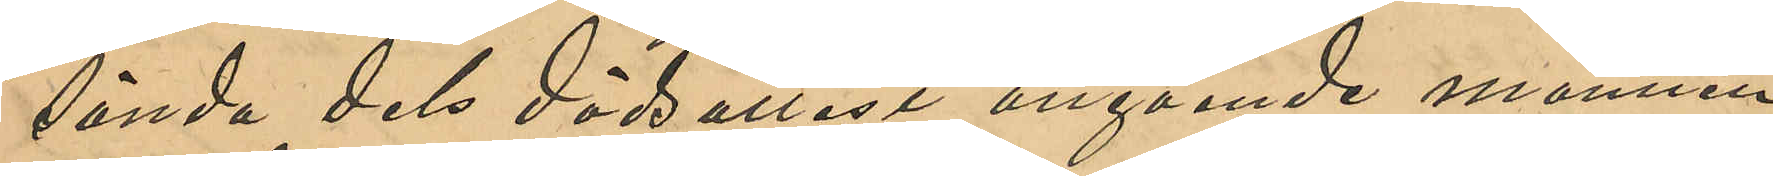sända dels dödsattest angående mannen
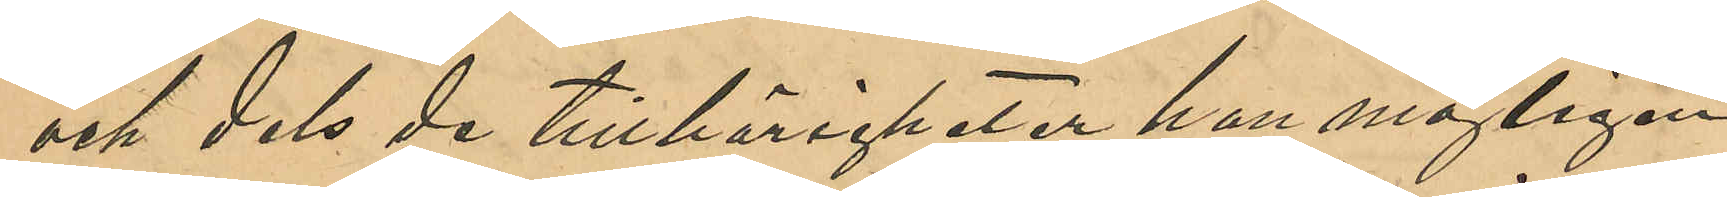och dels de tillhörigheter han möjligen
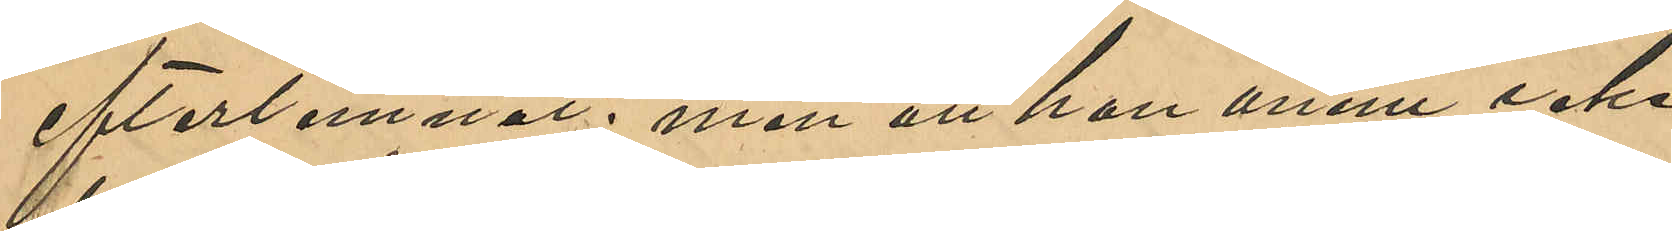efterlemnat; men att hon ännu icke
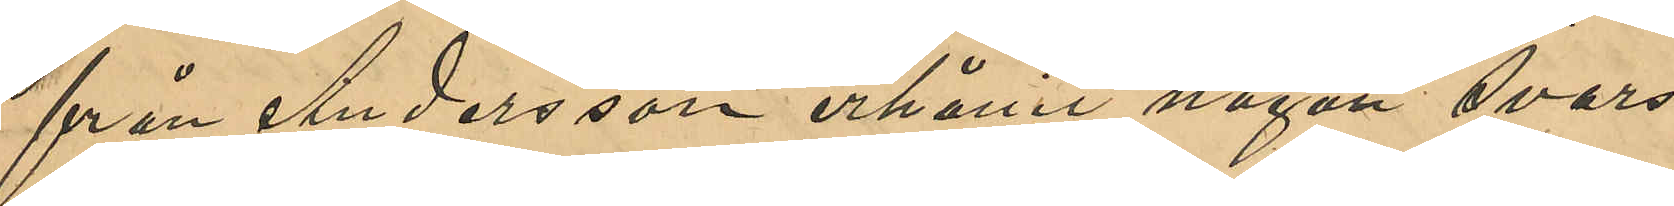från Andersson erhållit någon svars¬
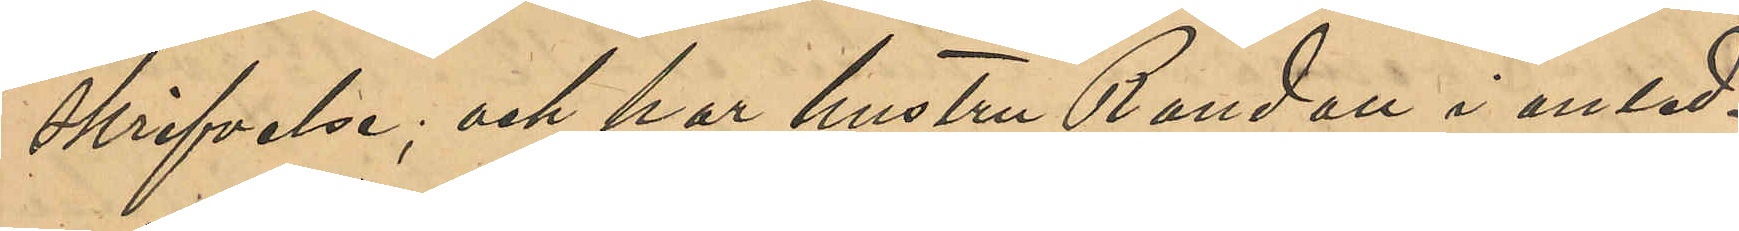skrifvelse; och har hustru Randau i anled¬
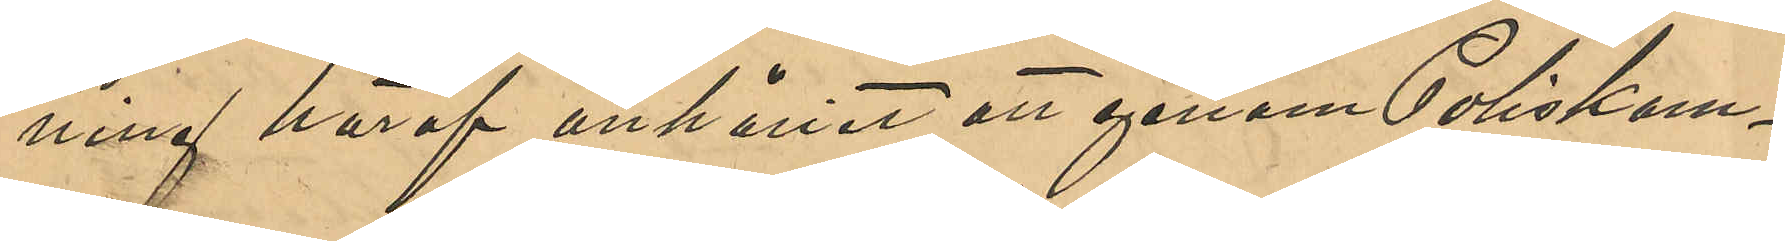ning häraf anhållit att genom Poliskam¬
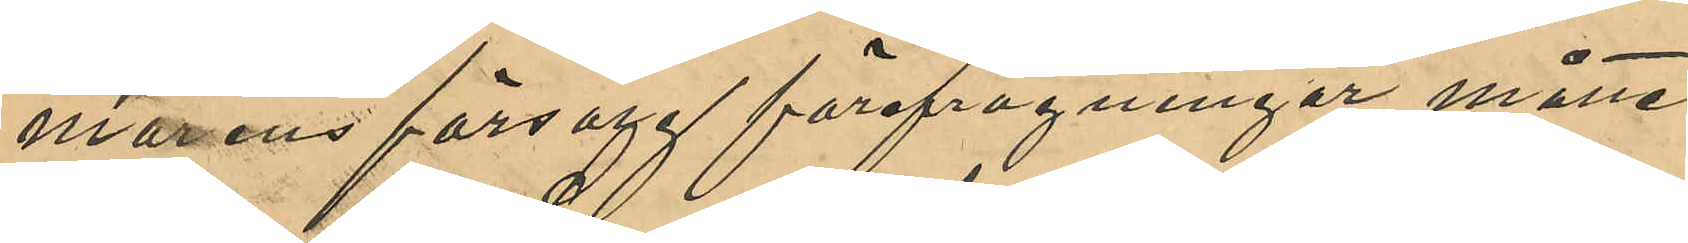marens försorg förefrågningar måtte
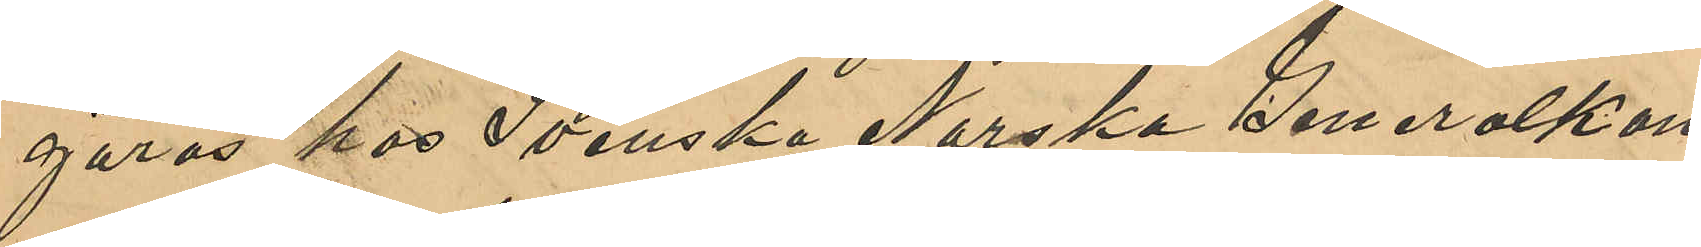göras hos Svenska Norska Generalkon¬
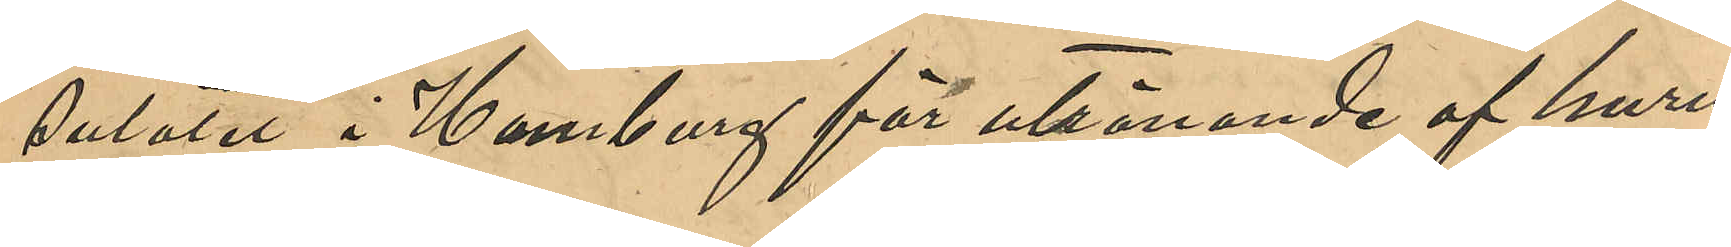sulatet i Hamburg för utrönande af huru¬
